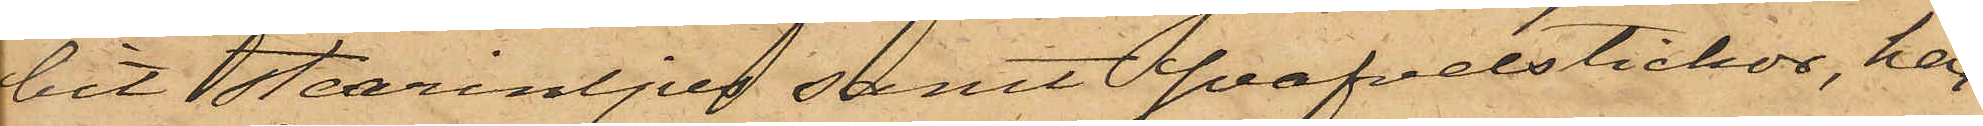bit stearinljus samt svafvelstickor, har
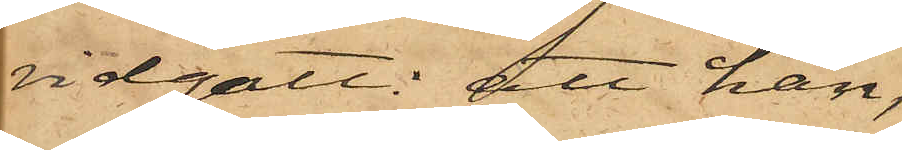vidgått: att han,
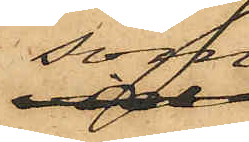som
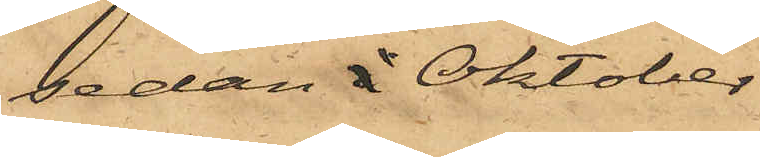sedan i Oktober
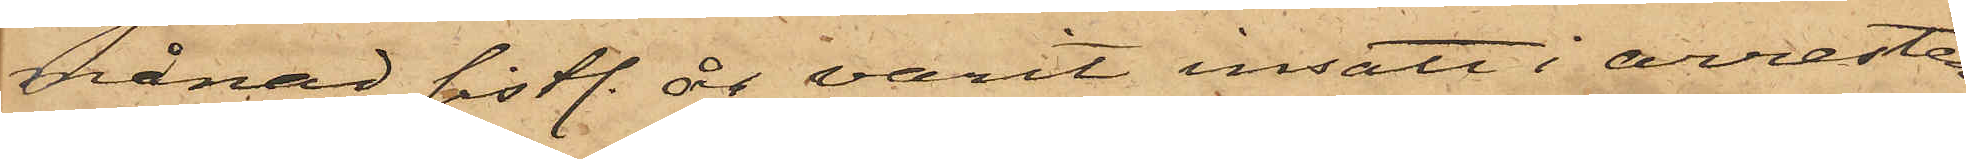månad sistl. år varit insatt i arresten
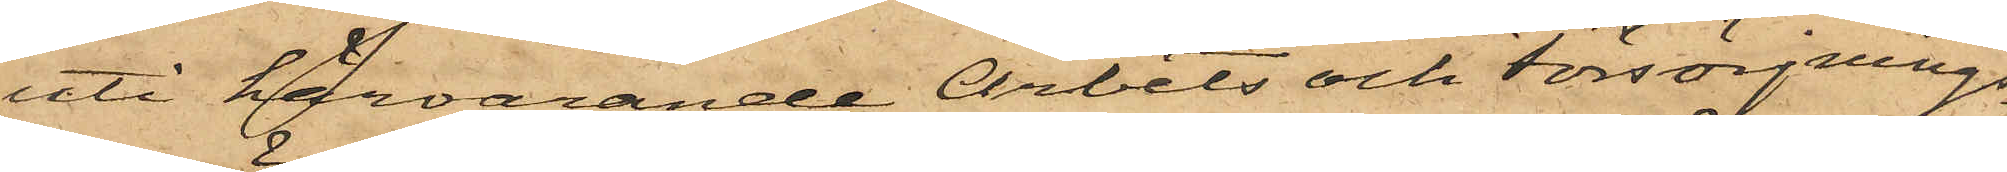uti härvarande Arbets och Försörjnings¬
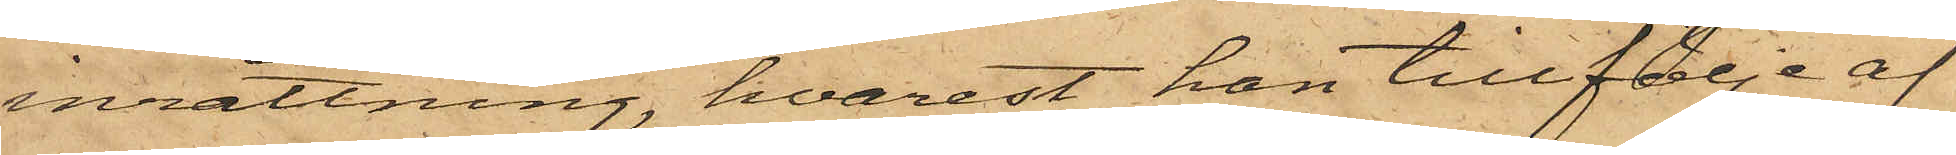inrättning, hvarest han tillfölje af
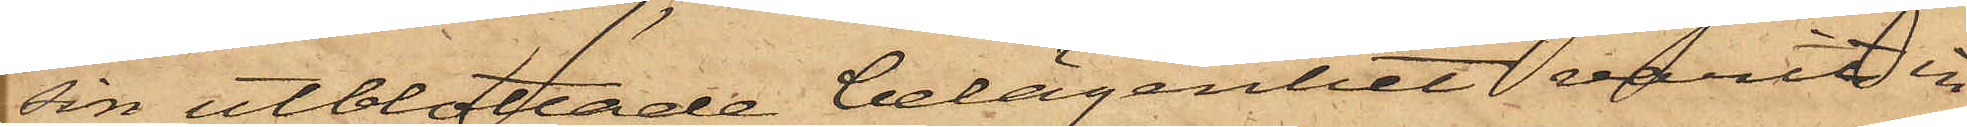sin utblottade belägenhet varit in¬
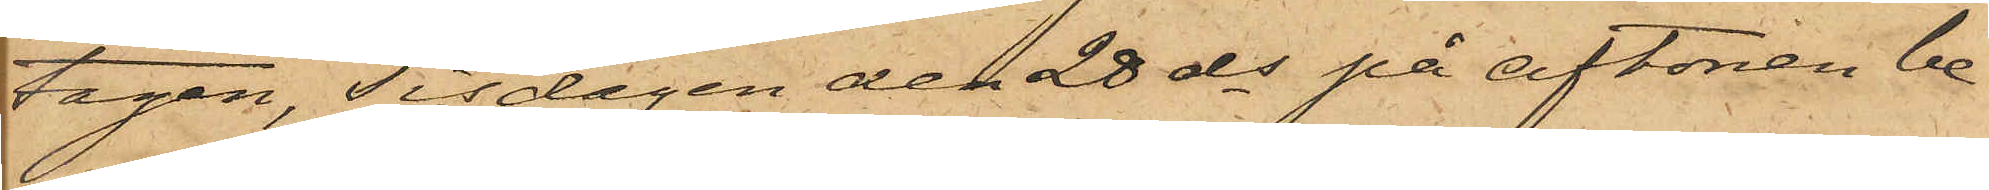tagen, Tisdagen den 28 ds på aftonen be¬
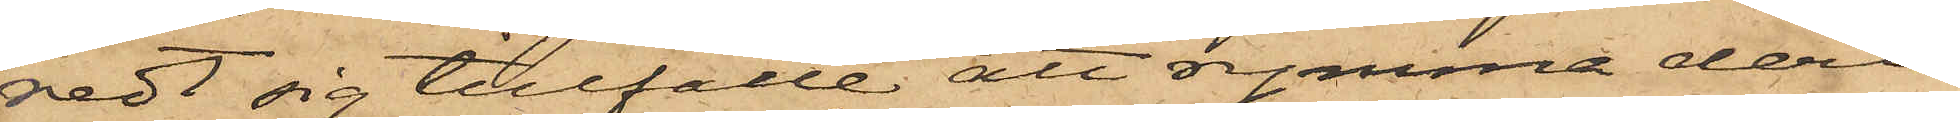redt sig tillfälle att rymma deri¬
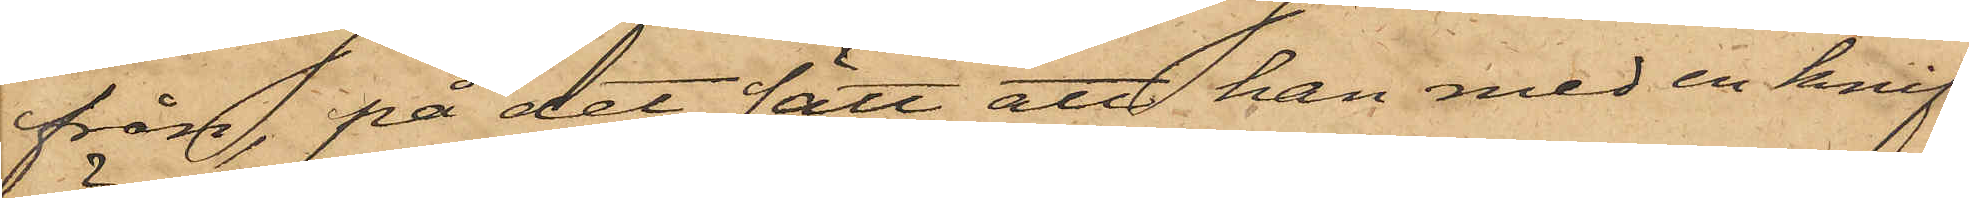från, på det sätt att han med en knif
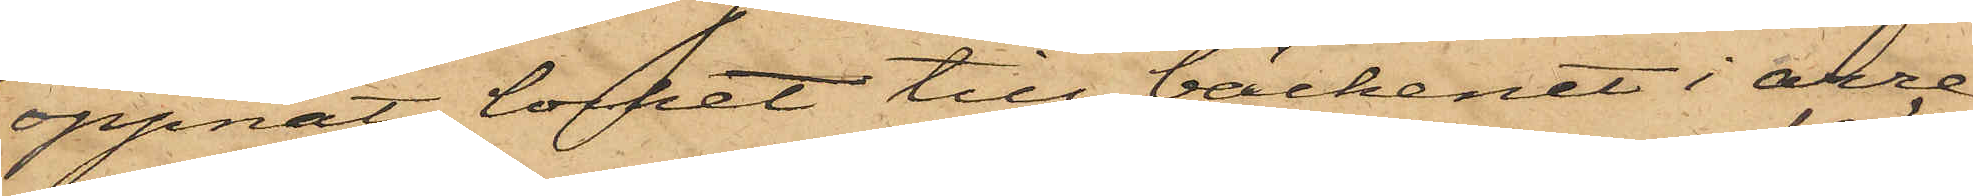öppnat locket till bäckenet i arre¬
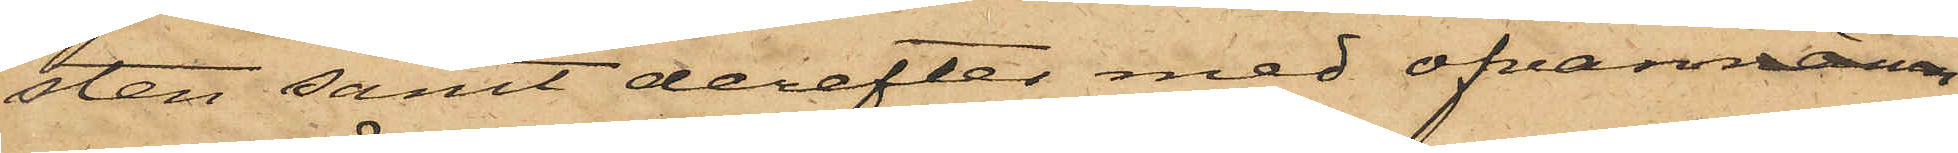sten samt derefter med ofvannäm¬
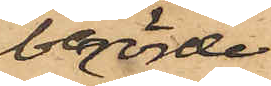berörde
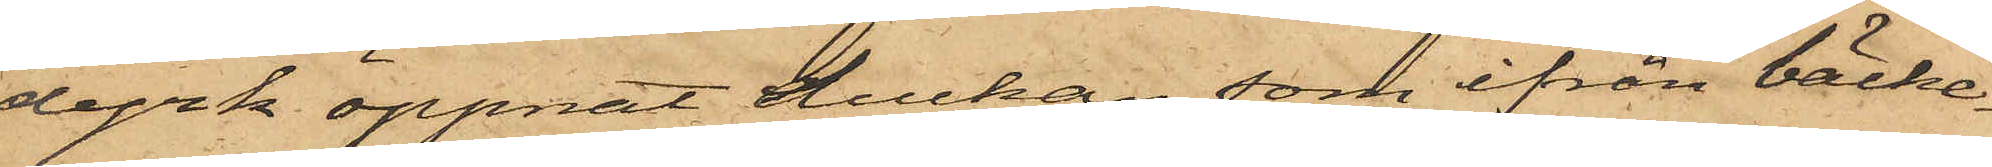dyrk öppnat luckan, som ifrån bäcke¬
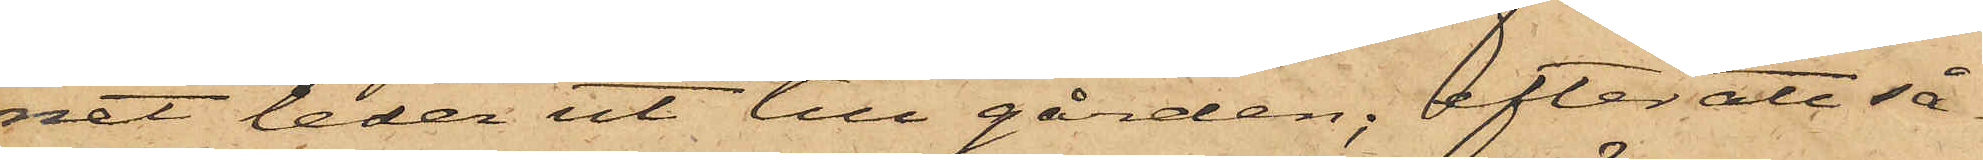net leder ut till gården; efter att så¬
